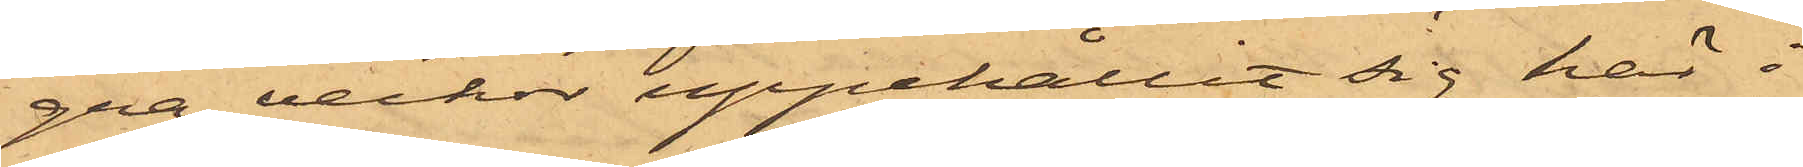gra veckor uppehållit sig här i
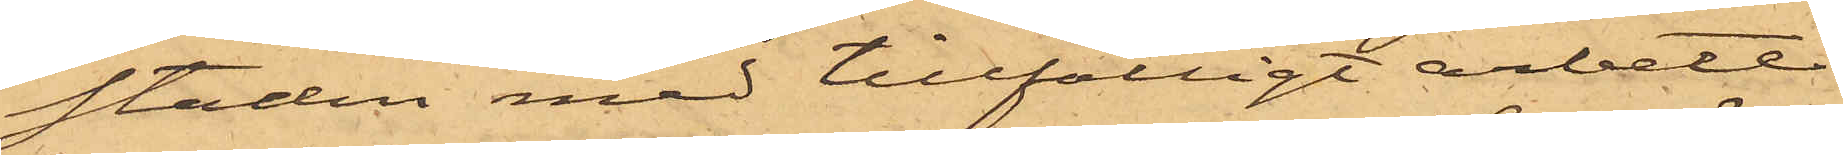staden med tillfälligt arbete
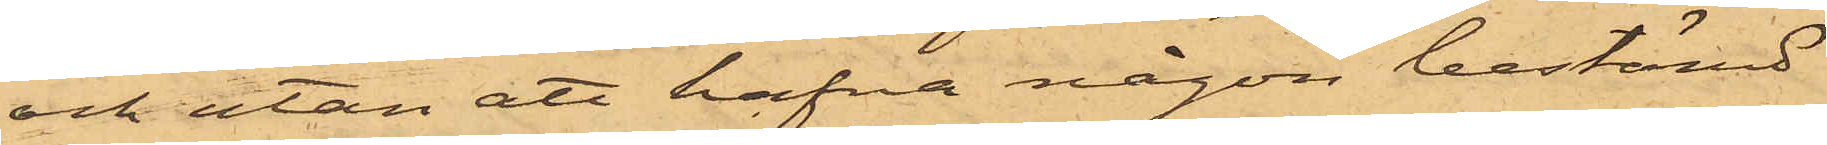och utan att hafva någon bestämd
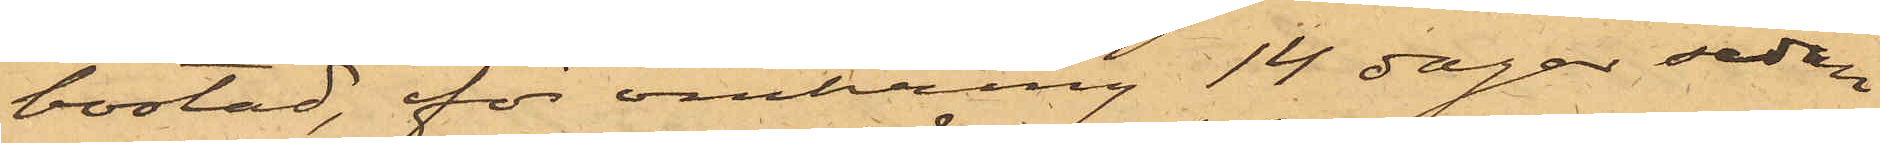bostad, för omkring 14 dagar sedan
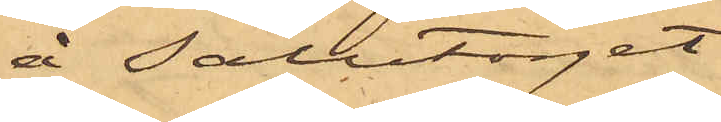å Salutorget
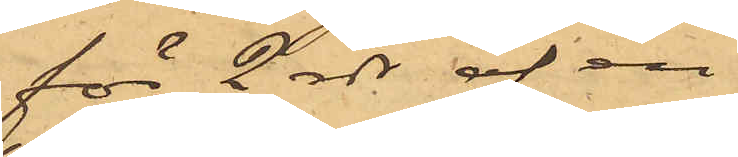för 2 rdr af en
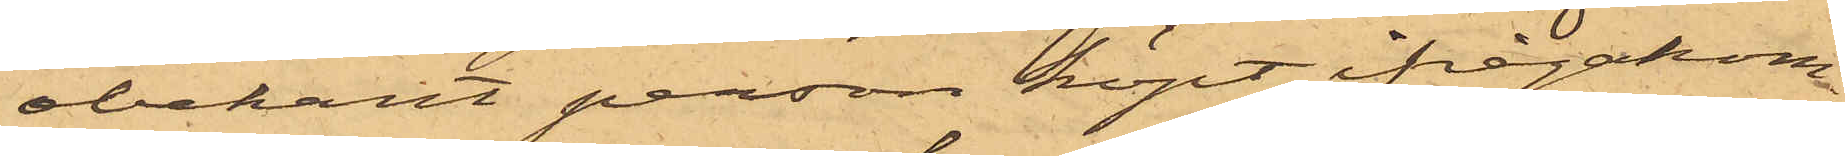obekant person köpt ifrågakom¬
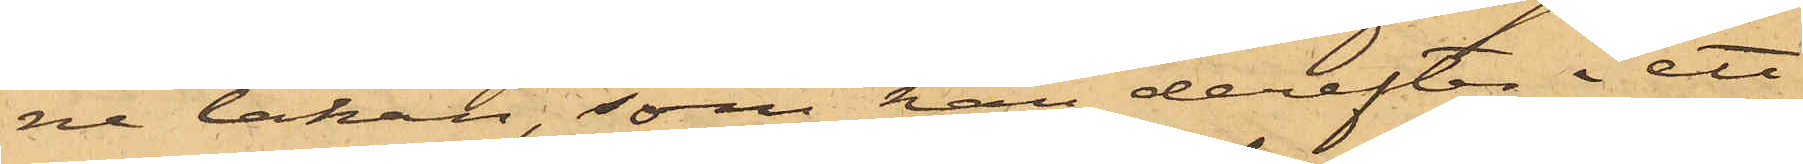ne lakan, som han derefter i ett
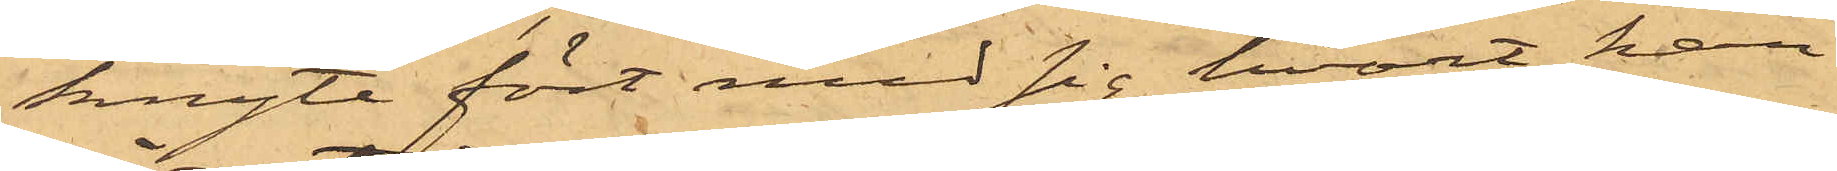knyte fört med sig hvart han
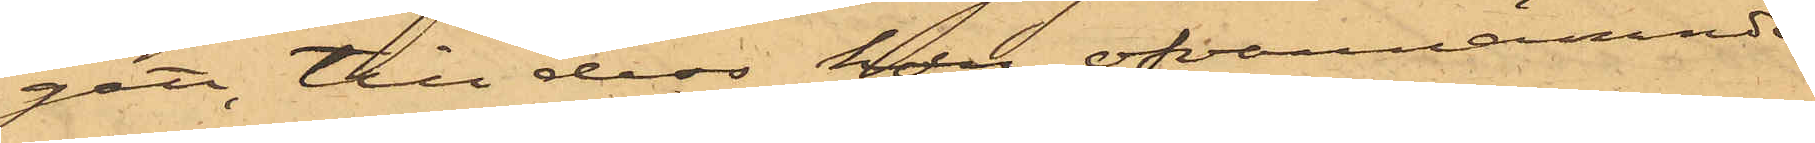gått, till dess han ofvannämnde
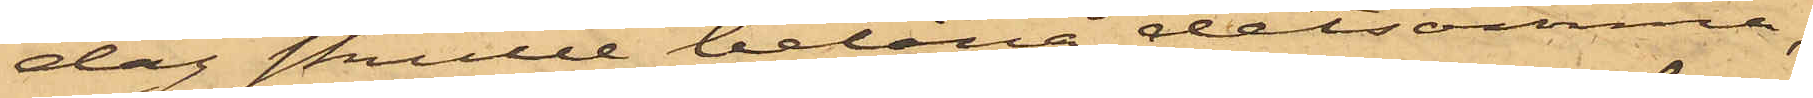dag skulle belåna detsamma,
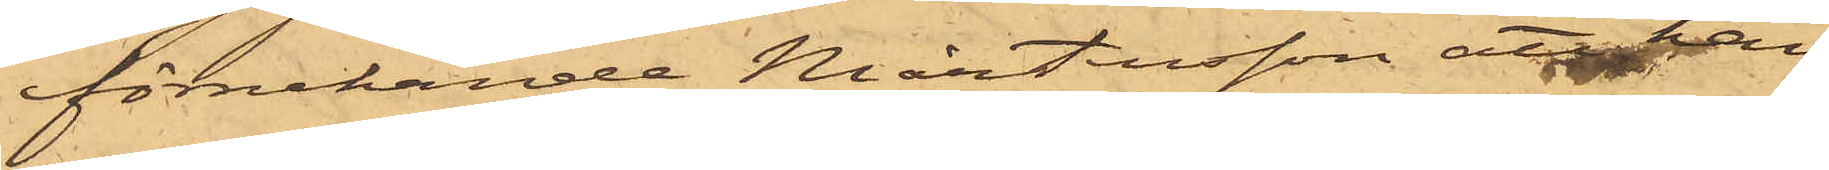förnekande Mårtensson, att han
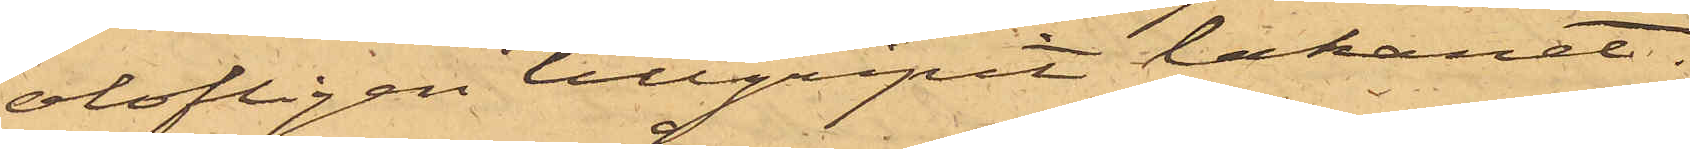olofligen tillgripit lakanet.
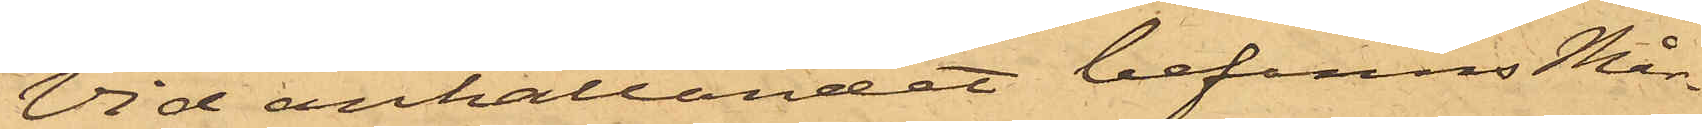Vid anhållandet befanns Mår¬
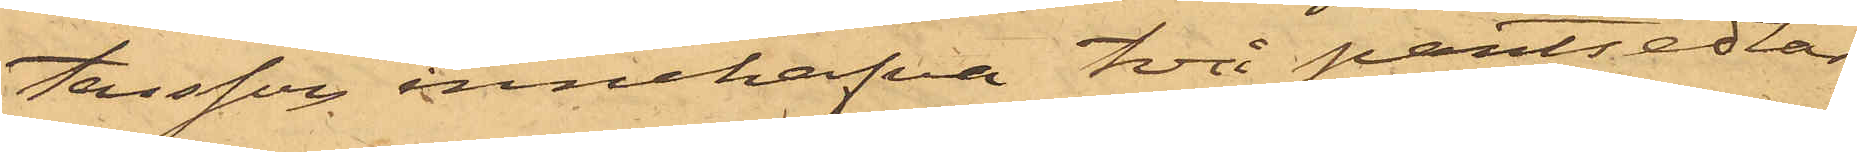tensson innehafva två pantsedlar,
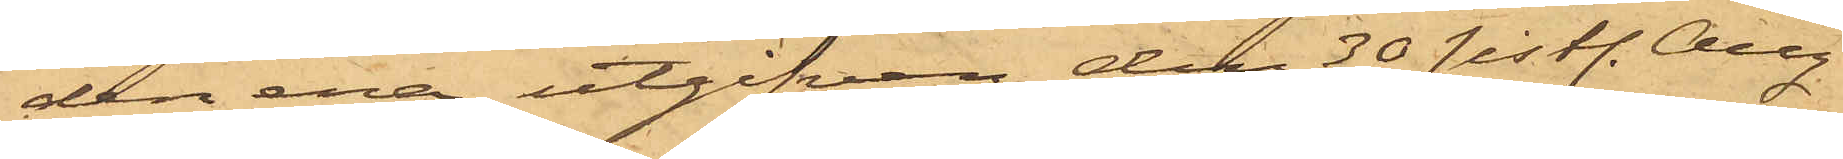den ena utgifven den 30 sistl. Aug.
